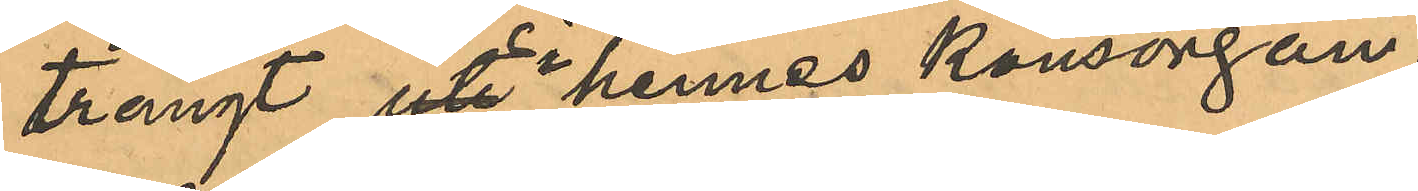trängt uti hennes könsorgan;
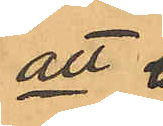att 
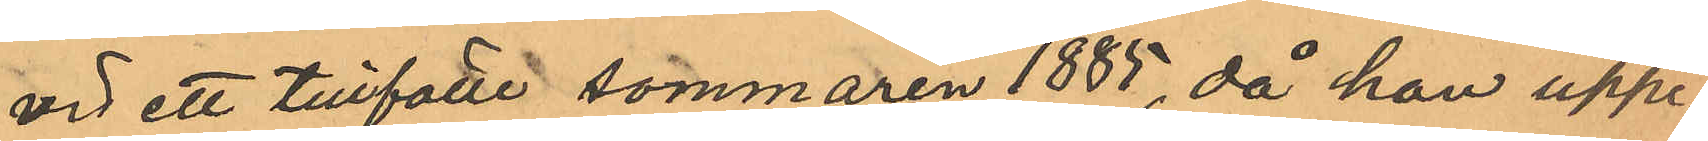vid ett tillfalle sommaren 1885, då han uppe¬
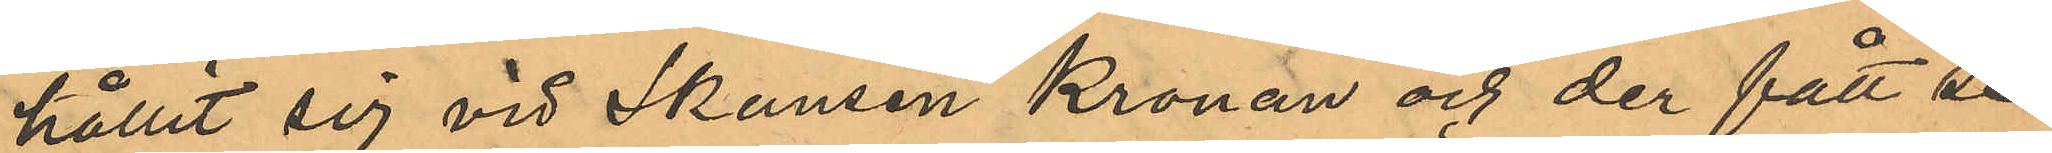hållit sig vid Skansen Kronan och der fått se
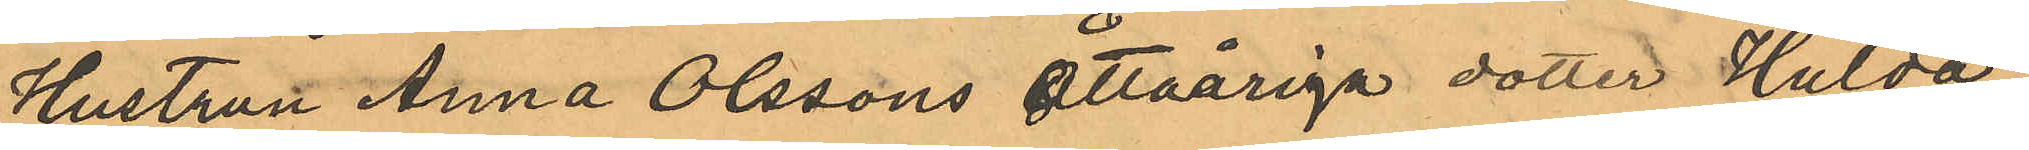Hustrun Anna Olssons åttaåriga dotter Hulda,
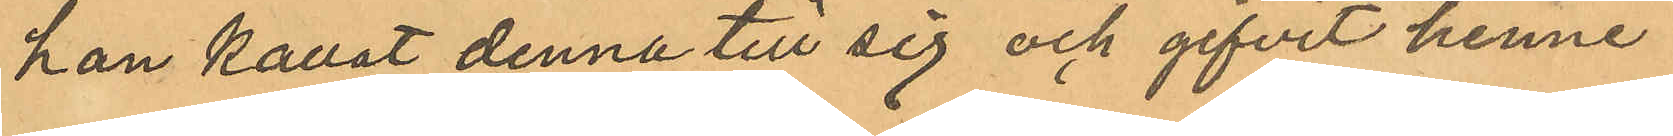han kallat denna till sig och gifvit henne,
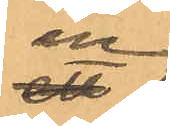en
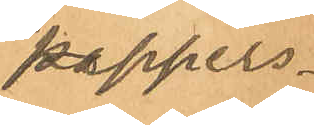pappers¬
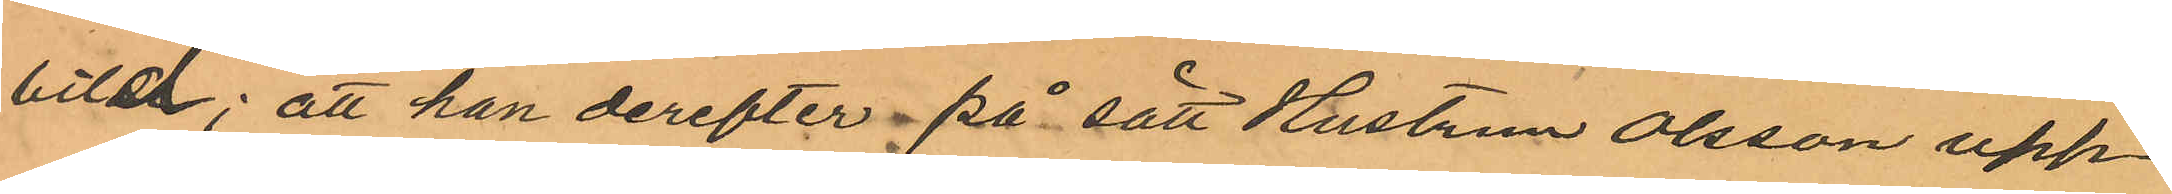bild; att han derefter på sätt Hustrun Olsson upp¬
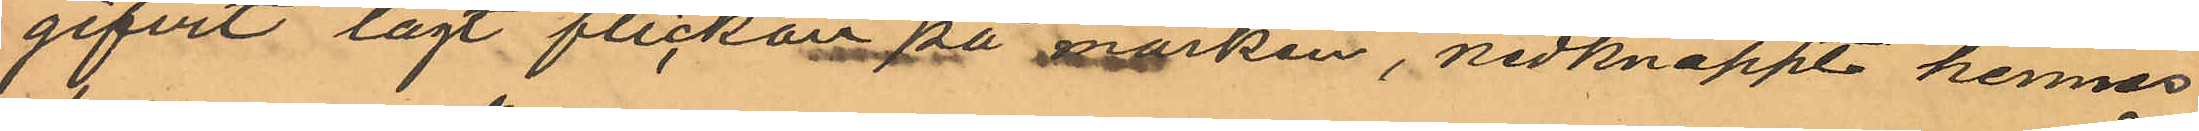gifvit lagt flicka på marken, nedknäppt hennes
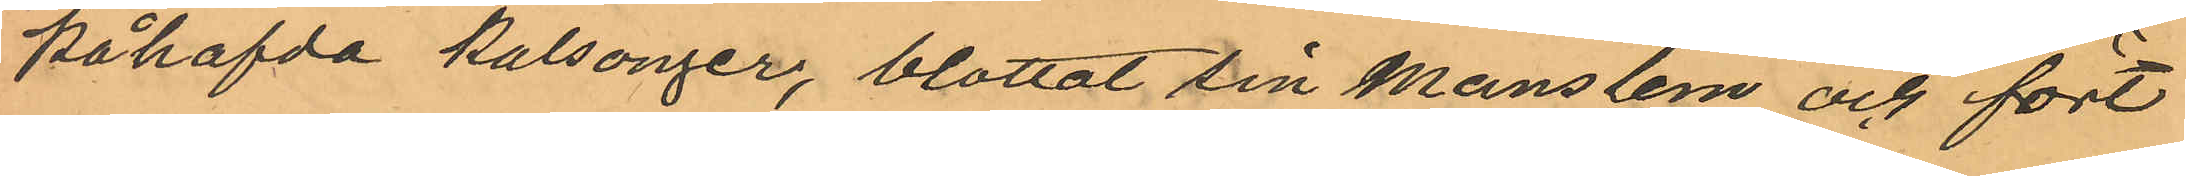påhafvda kalsonger, blottat sin manslem och fört
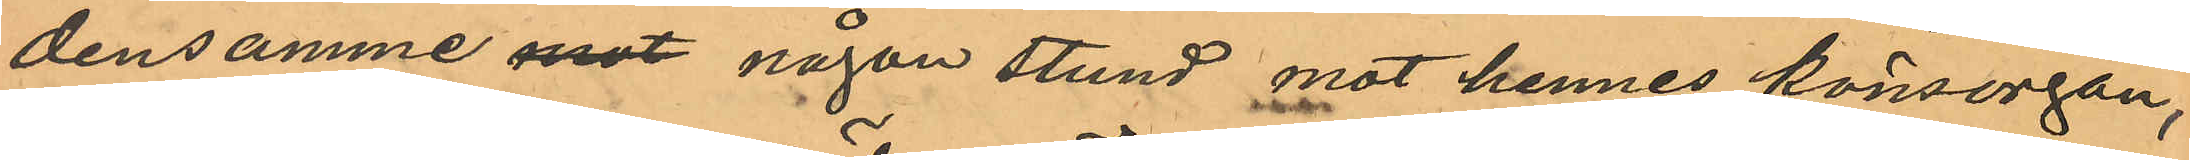densamme mot någon stund mot hennes könsorgan,
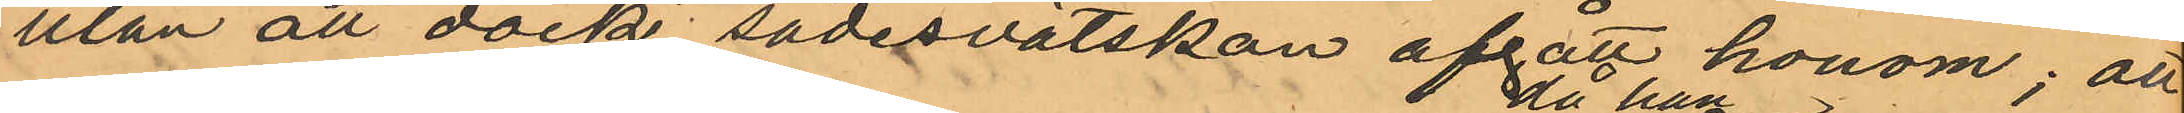utan att dock sädesvätskan afgått honom; att
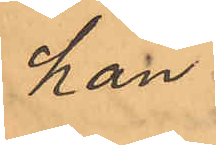han
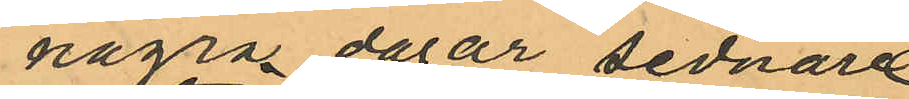några dagar sednare
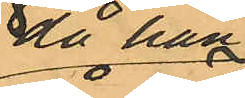då han
